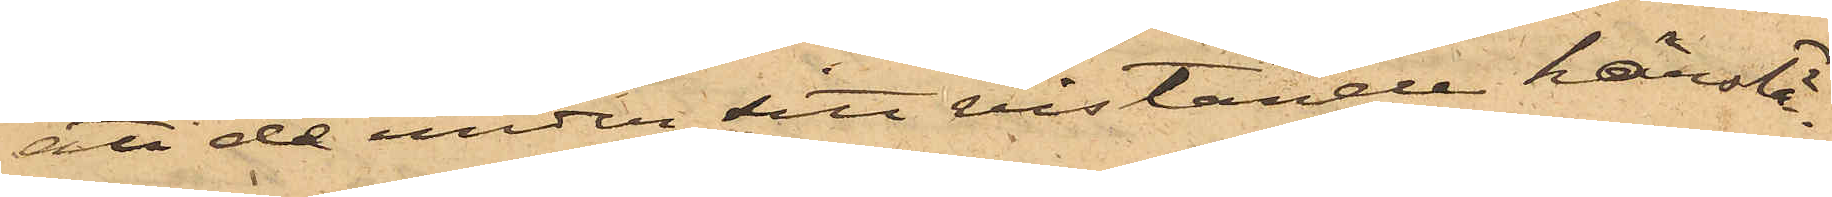att de under sitt vistande härstä¬
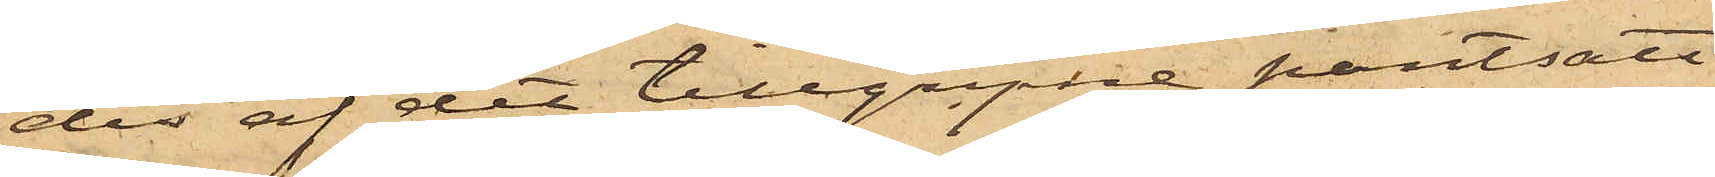des af det tillgripne pantsatt
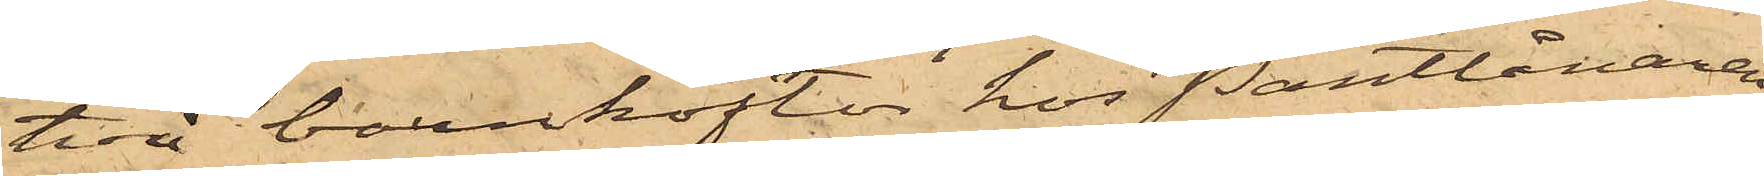två barnkoftor hos Pantlånaren
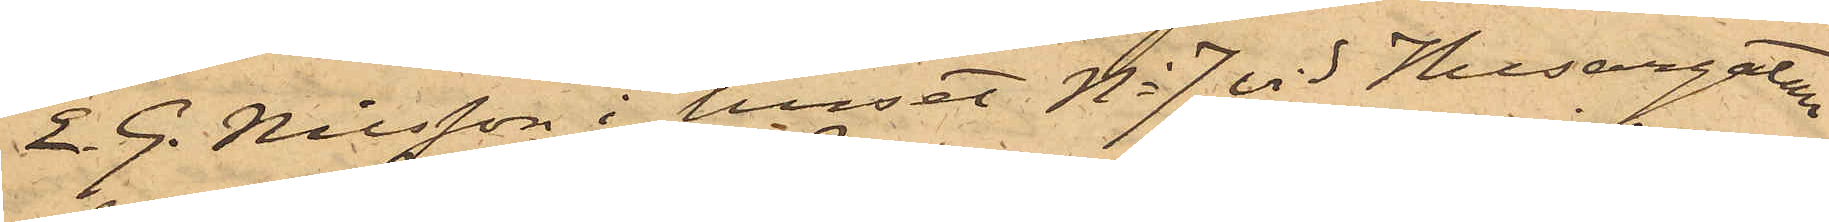E. G. Nilsson i huset No 7 vid Husargatan
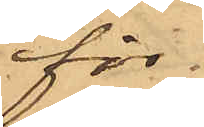för
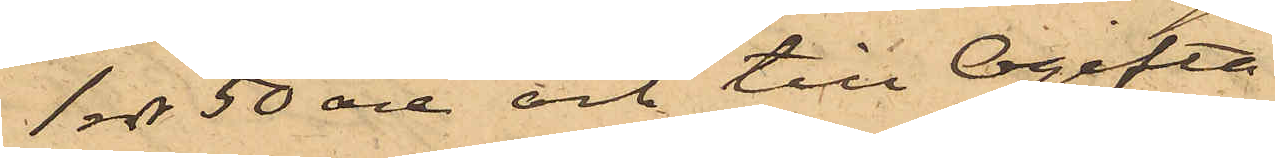1 rdr 50 öre och till Ogifta
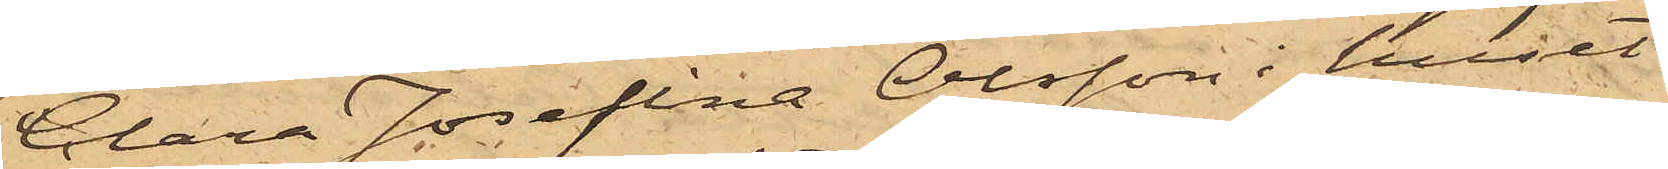Clara Josefina Olsson i huset
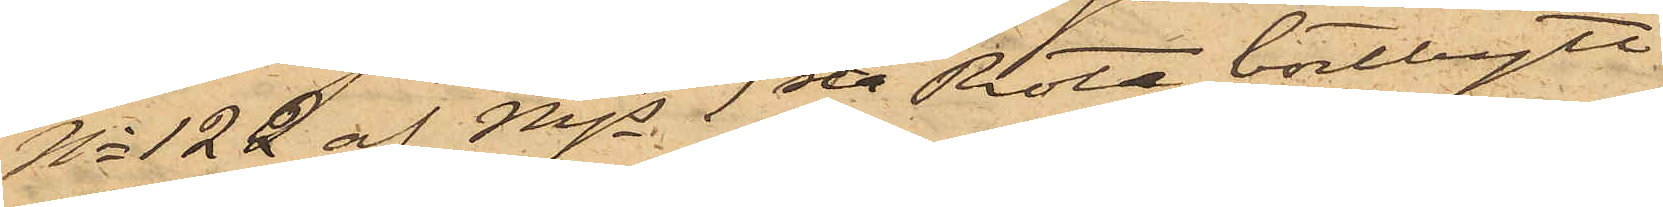No 122 af Mjs 1sta Rote bortbytt
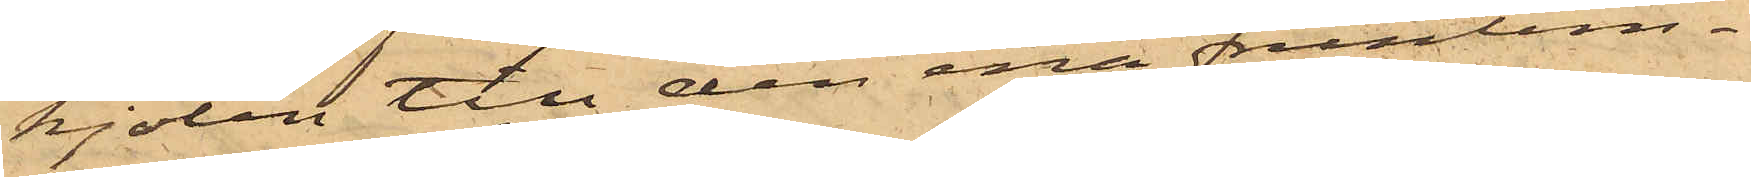kjolen till den ena fruntim¬
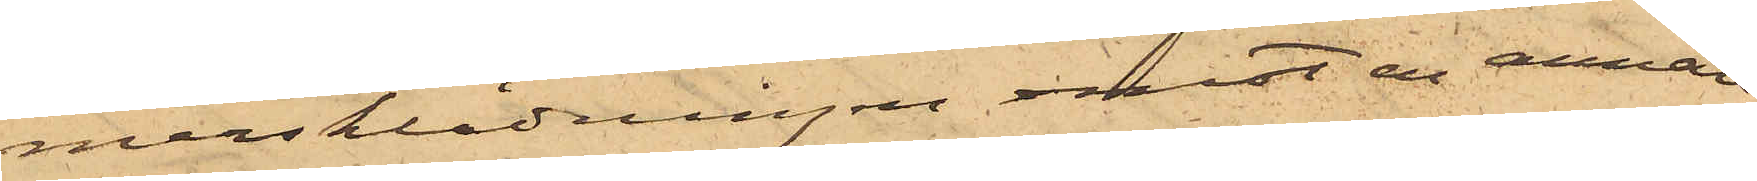mersklädningen emot en annan
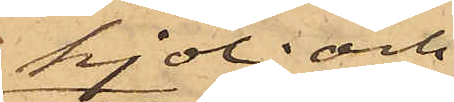kjol; och
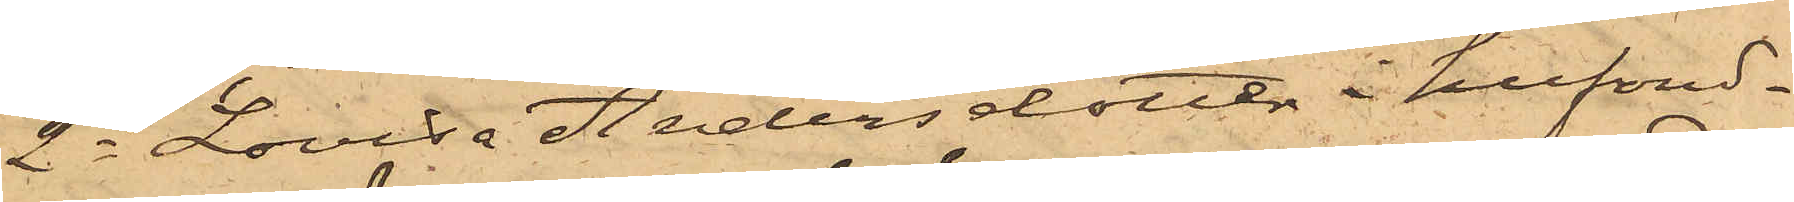2o Lovisa Andersdotter i hufvud¬
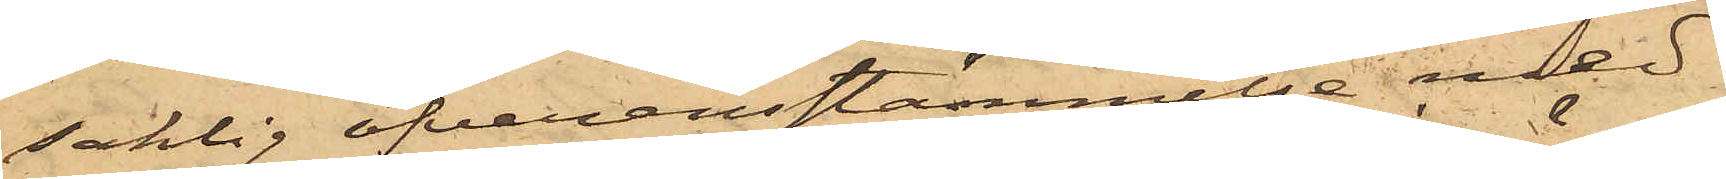saklig öfverensstämmelse med
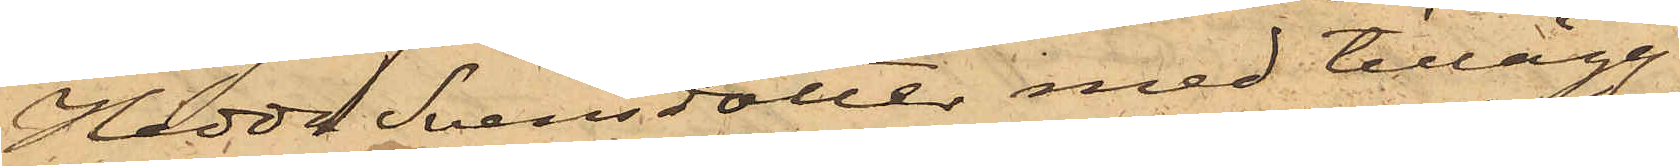Hedda Svensdotter med tillägg
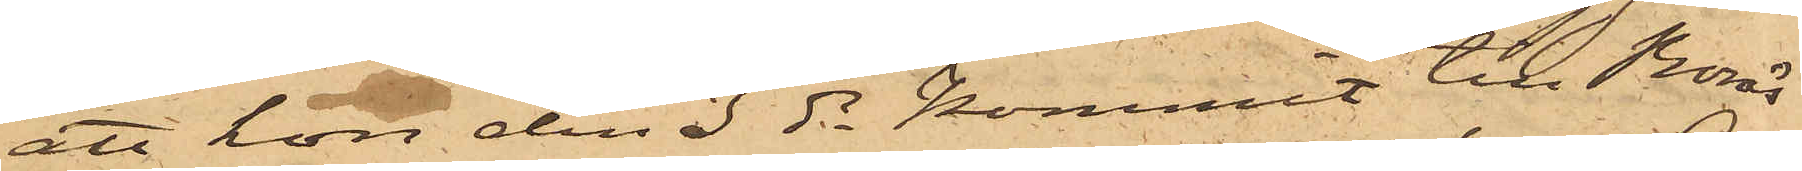att hon den 3 ds kommit till Borås
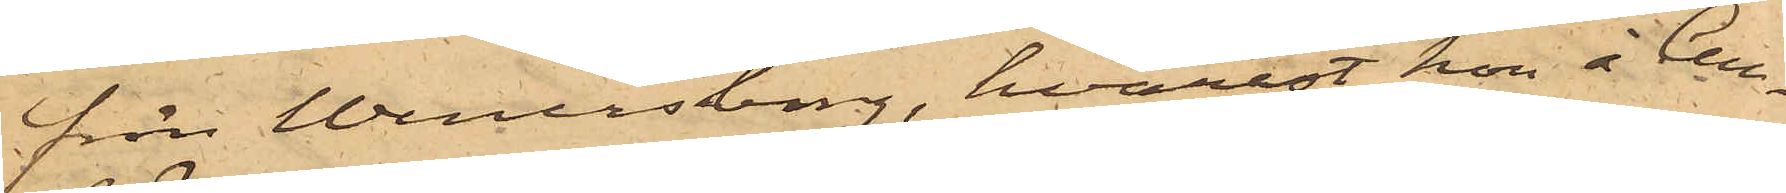från Wenersborg, hvarest hon å Cell¬
